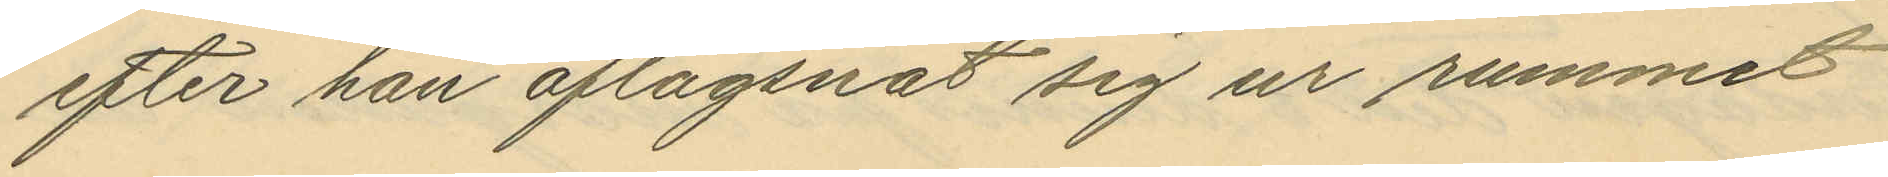efter han aflägsnat sig ur rummet
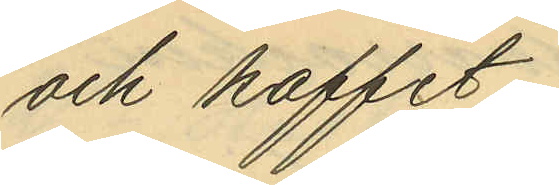och kaffet;
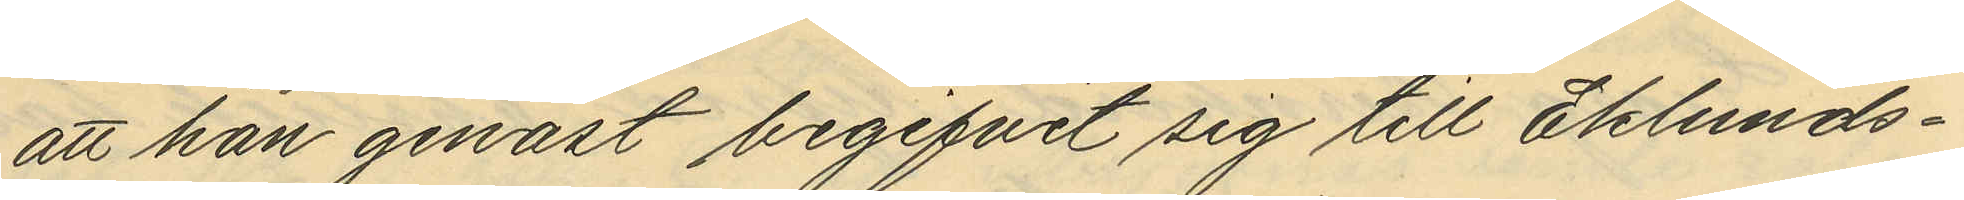att han genast begifvit sig till Eklunds¬
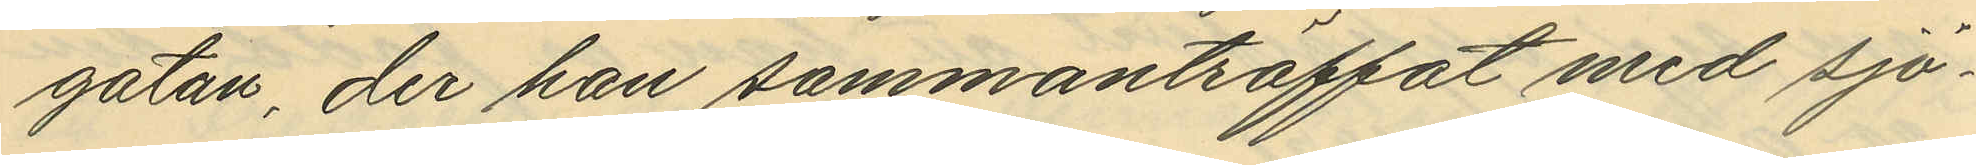gatan, der han sammanträffat med sjö¬
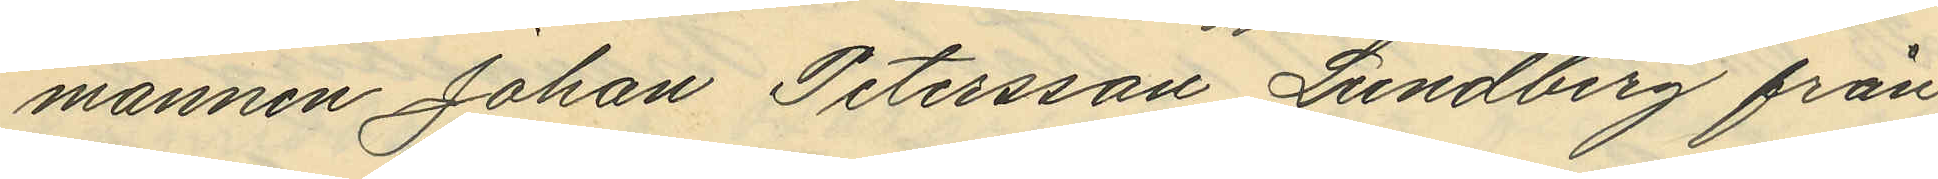mannen Johan Petersson Lundberg från
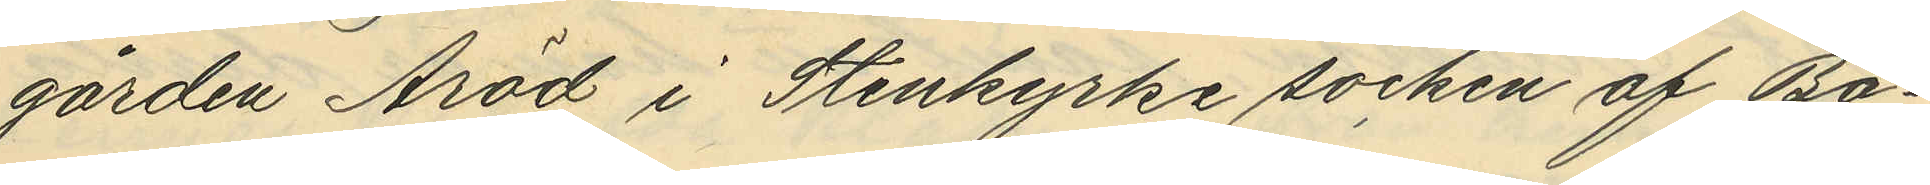gården Aröd i Stenkyrke socken af Bo¬
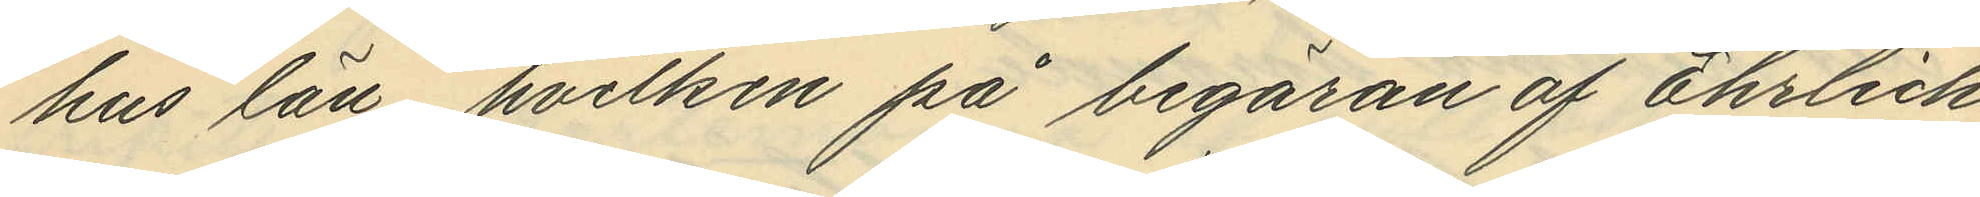hus län, hvilken på begäran af Ehrlich
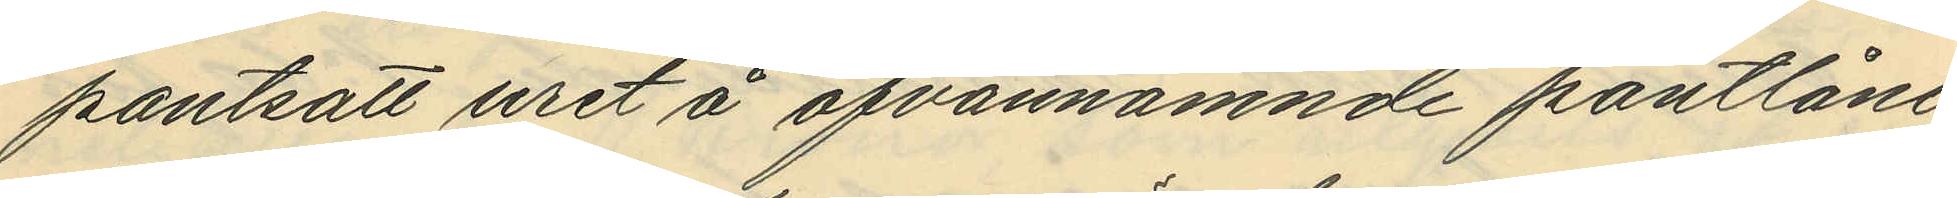pantsatt uret å ofvannämnde pantlåne¬
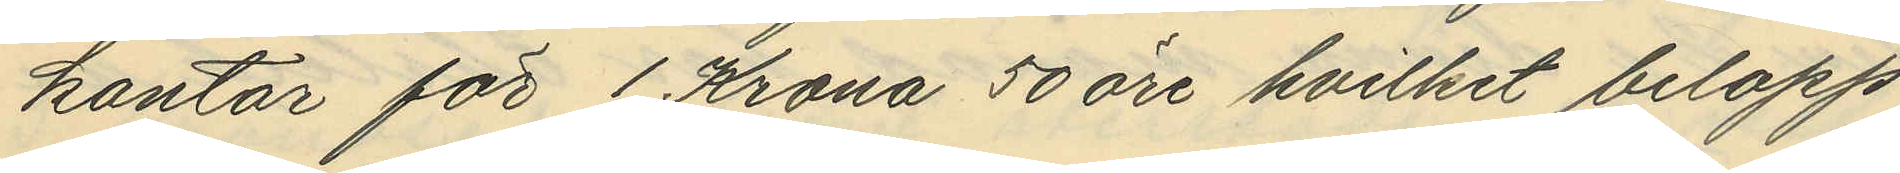kontor för 1 Krona 50 öre, hvilket belopp
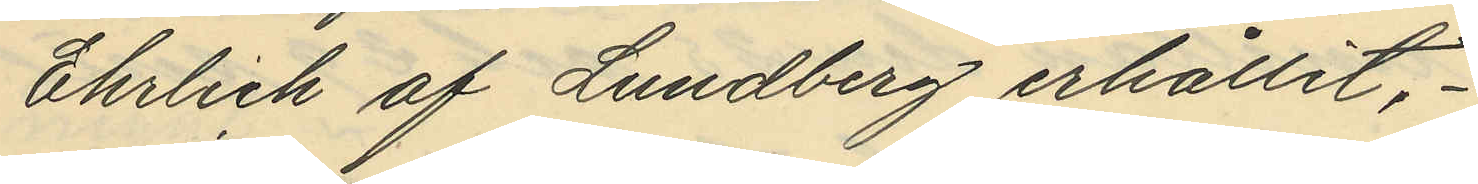Ehrlich af Lundberg erhållit,
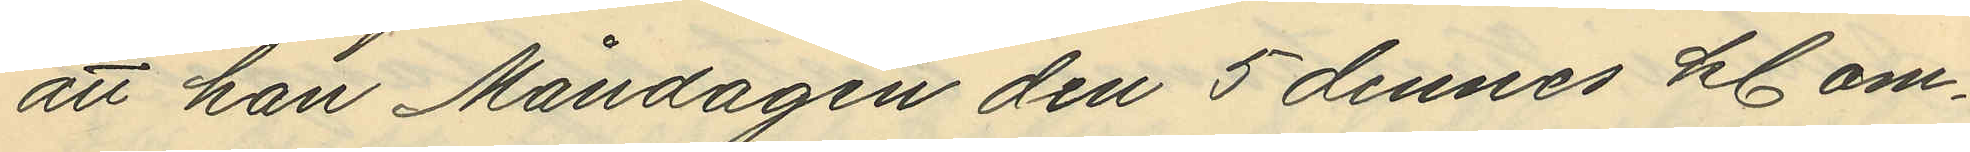att han Måndagen den 5 dennes kl. om¬
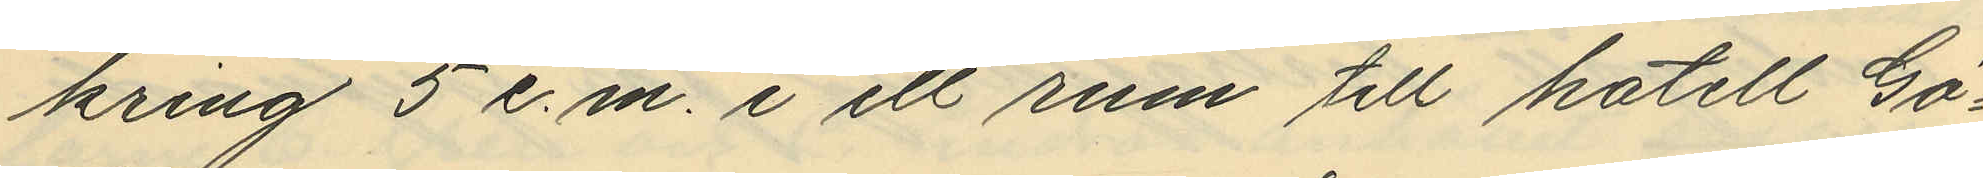kring 5 e.m. i ett rum till hotell Gö¬
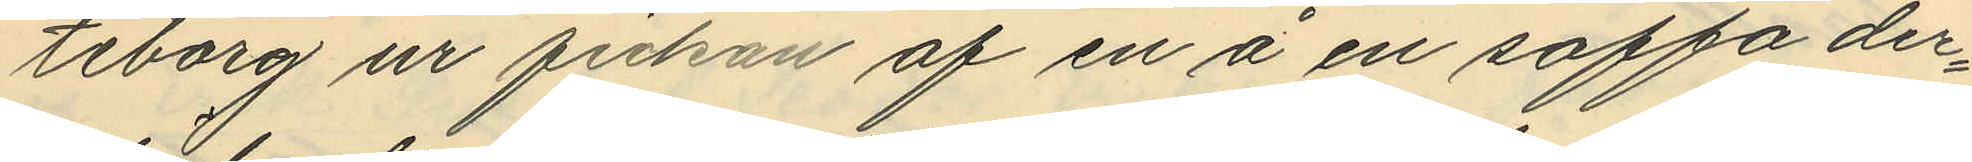teborg ur fickan af en å en soffa der¬
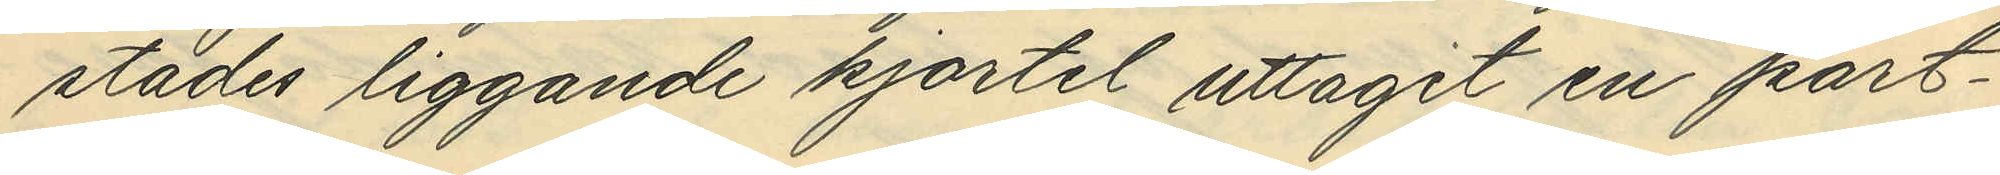städes liggande kjortel uttagit en port¬
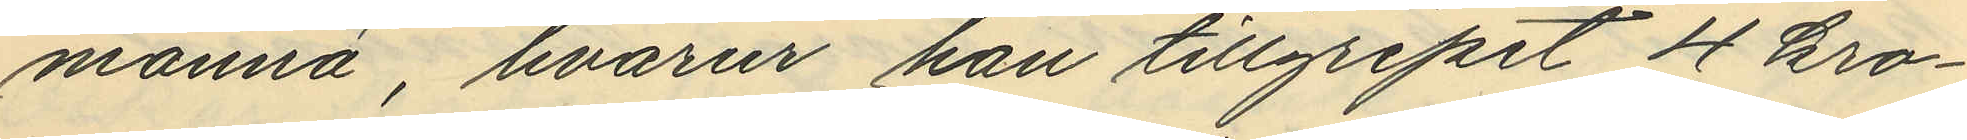monnä, hvarur han tillgripit 4 kro¬
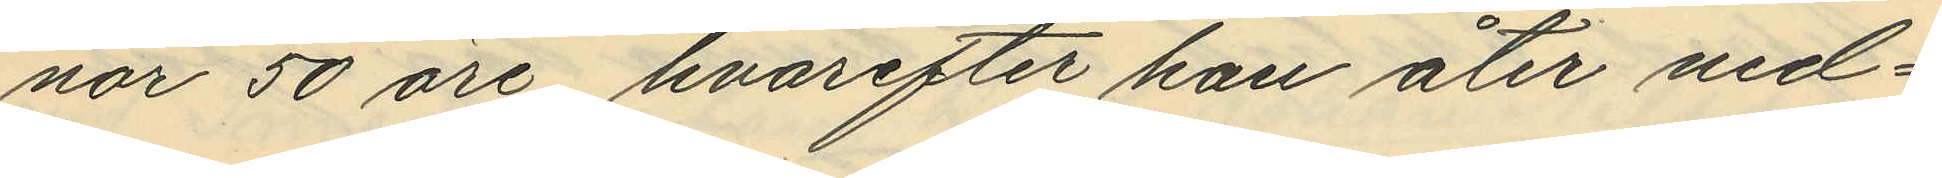nor 50 öre, hvarefter han åter ned¬
